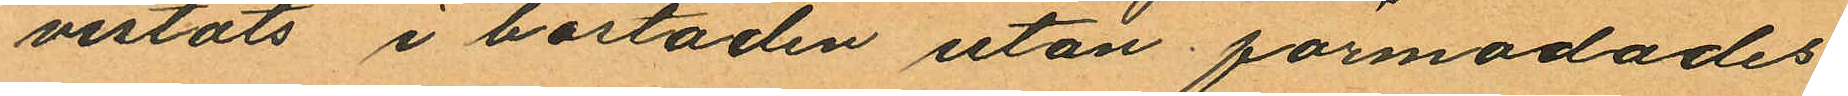vistats i bostaden utan förmodades
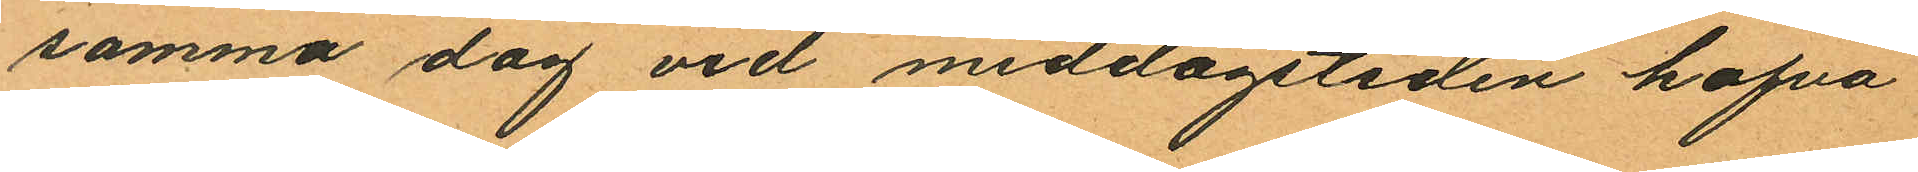samma dag vid middagstiden hafva
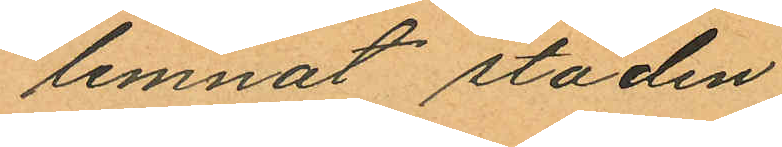lemnat staden.
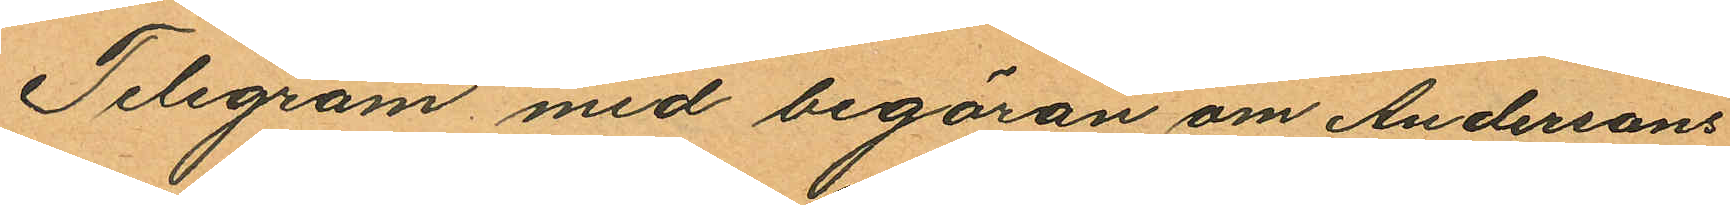Telegram med begäran om Andersons
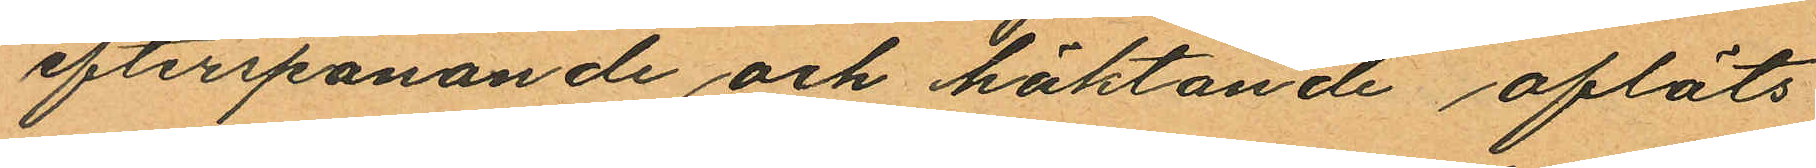efterspanande och häktande afläts
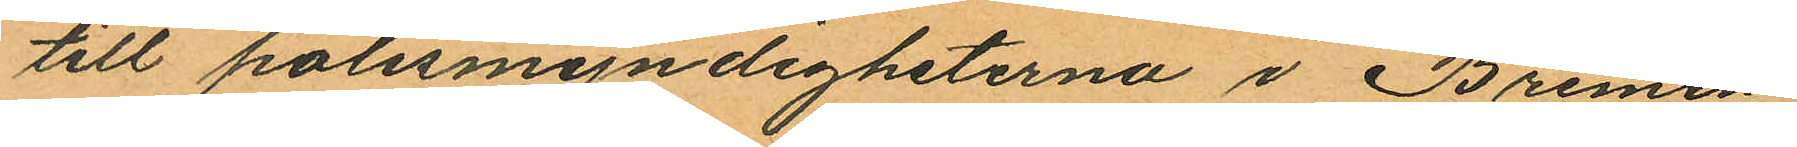till polismyndigheterna i Bremen,
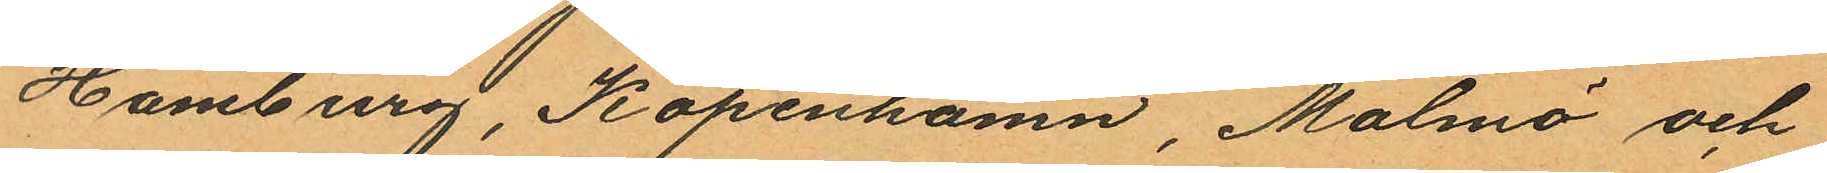Hamburg, Köpenhamn, Malmö och
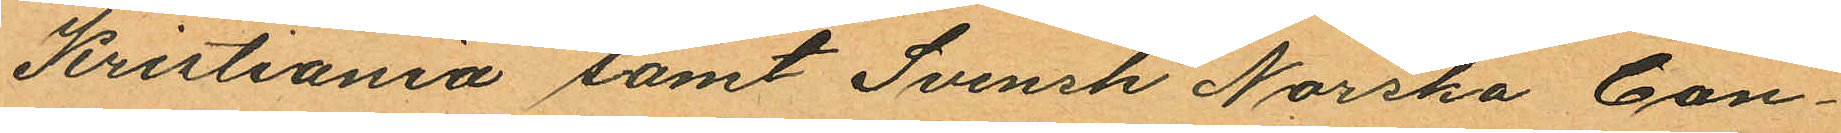Kristiania samt Svensk Norska Con¬
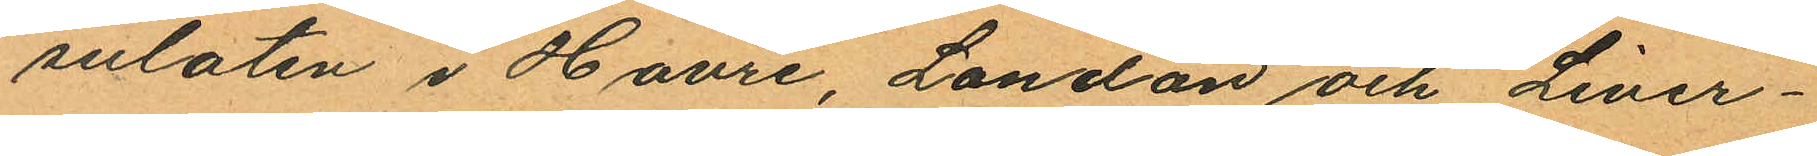sulaten i Havre, Londao och Liver¬
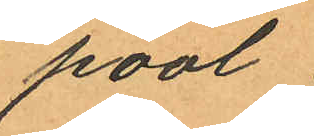pool.
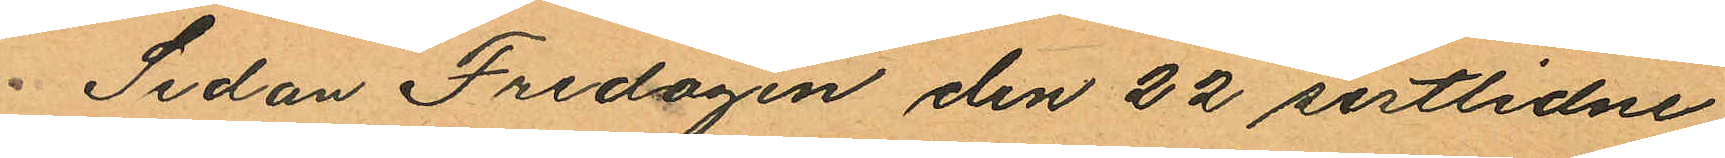Sedan Fredagen den 22 sistlidne
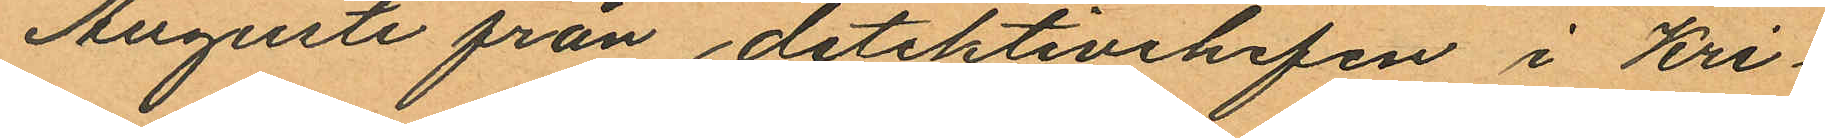Augusti från detektivchefen i Kri¬
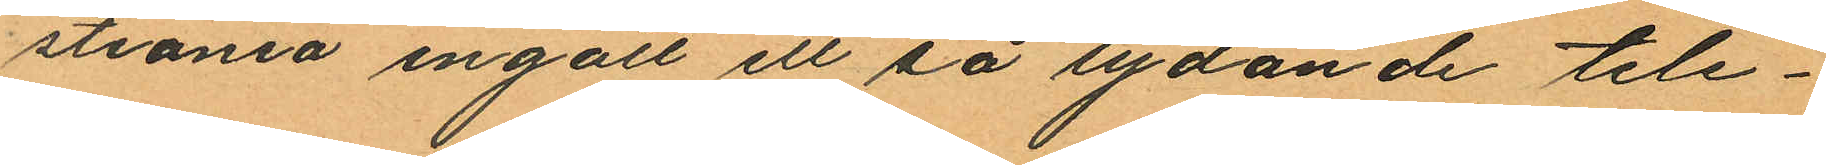stiania ingått ett så lydande tele¬
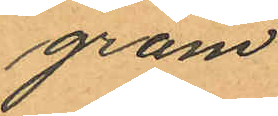gram.
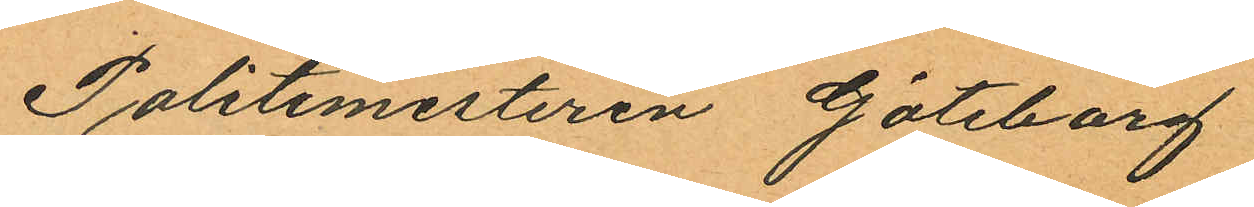Politimesteren Göteborg
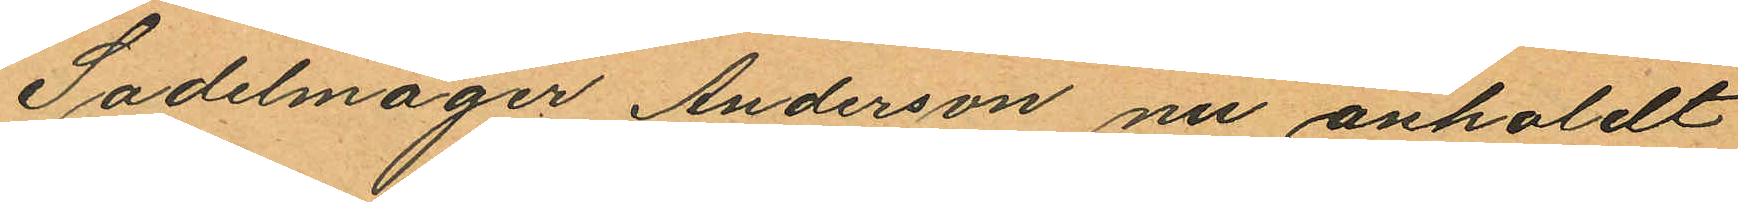Sadelmager Anderson nu anholdt
